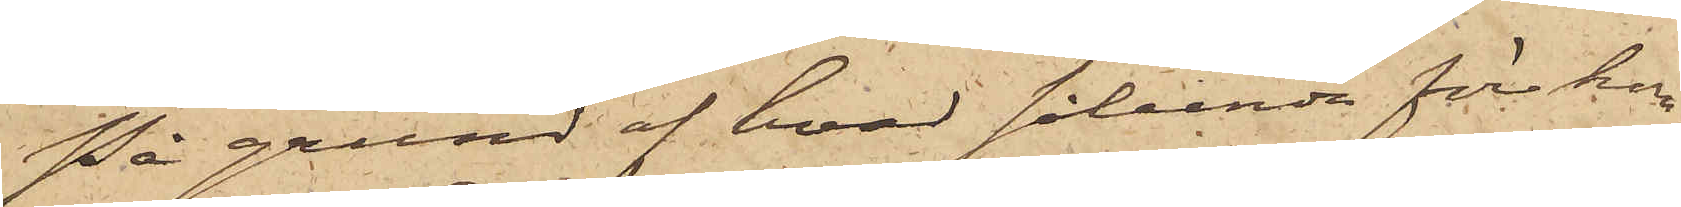På grund af hvad sålunda förekom¬
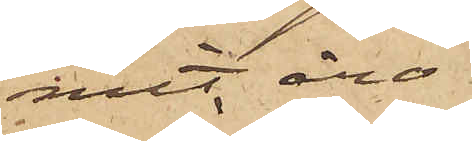mit äro
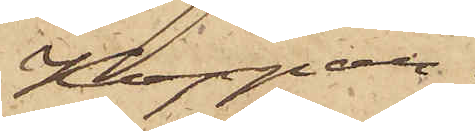Koppar¬
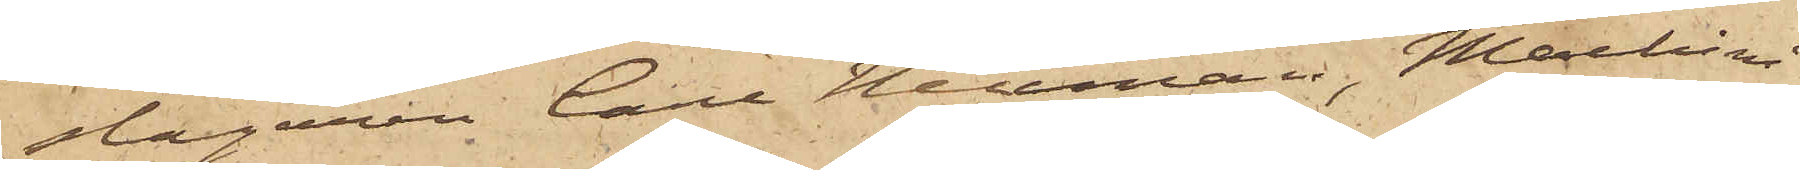slagaren Carl Neuman, Maskinis¬
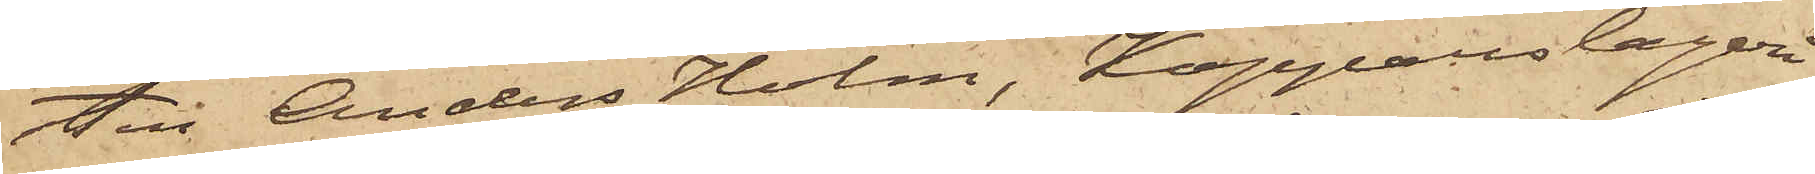ten Anders Holm, Kopparslageri¬
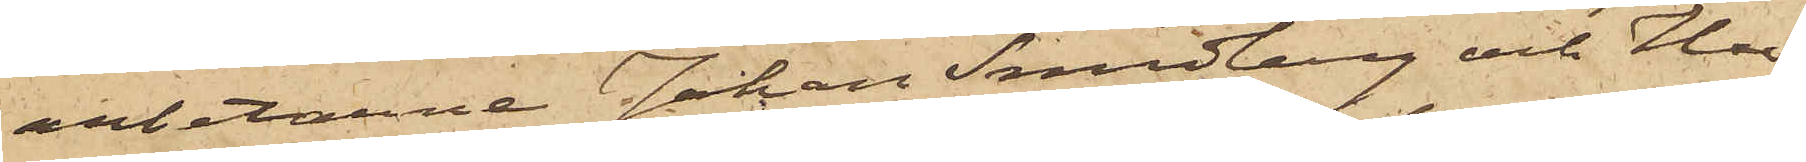arbetarne Johan Sundberg och Hu¬
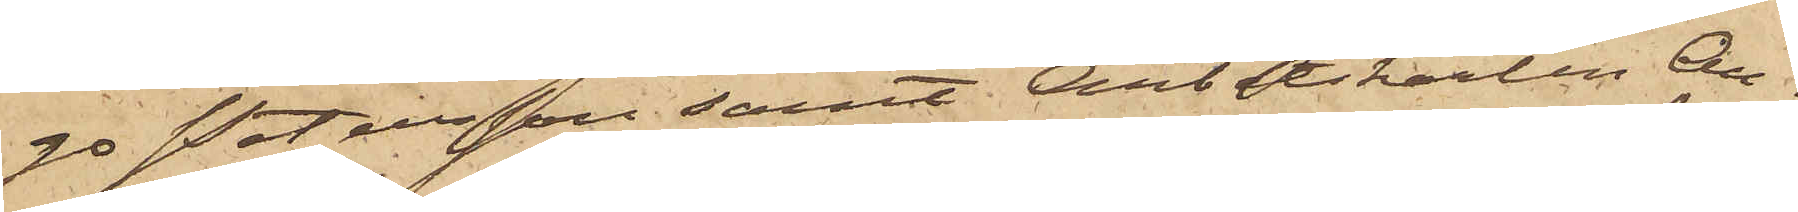go Petersson samt Arbetskarlen Au¬
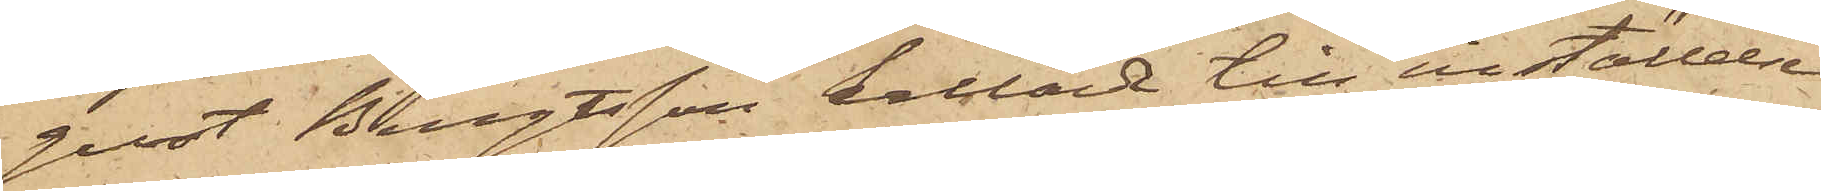gust Bengtsson kallade till inställelse
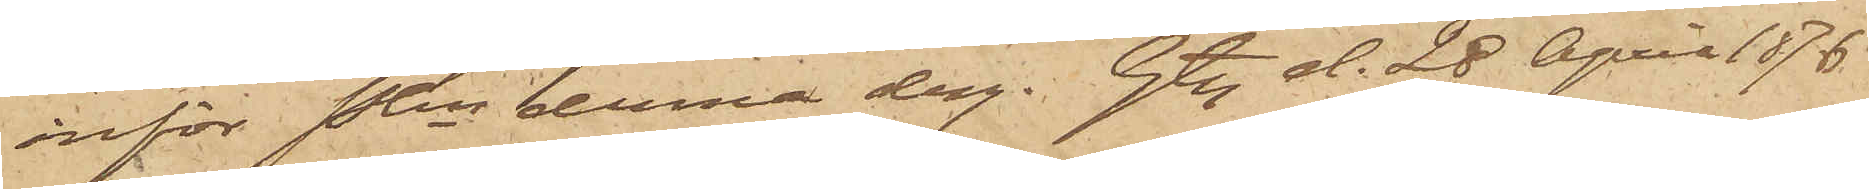inför Pkn denna dag. Gbg d. 28 April 1876.
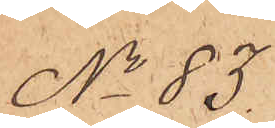No 83.
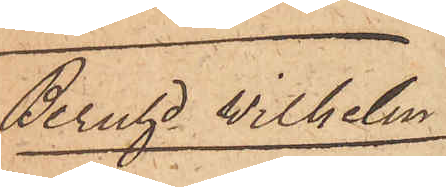Bernhard Wilhelm
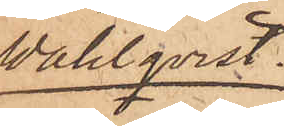Wahlqvist.
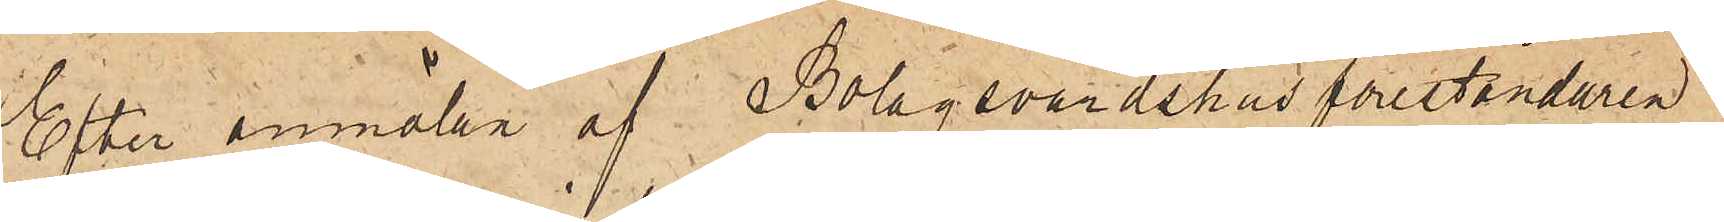Efter anmälan af Bolagsvärdshusföreståndaren
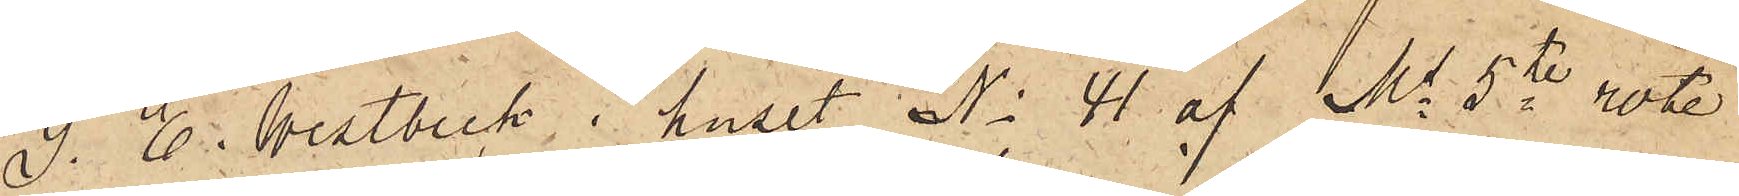S. E. Westbeck i huset No 41 af Ms 5te rote
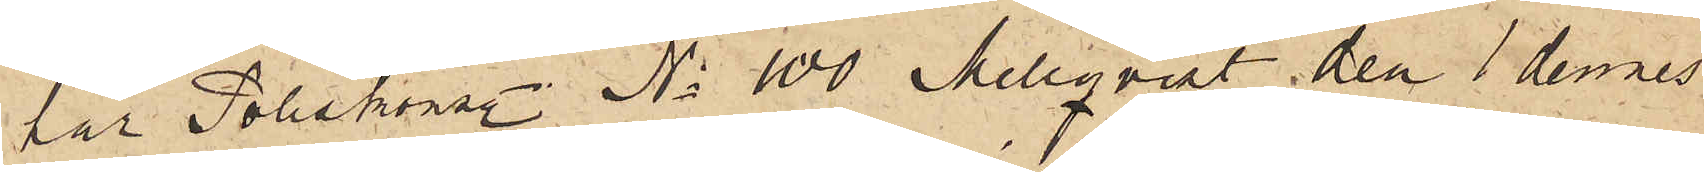har Poliskonstl No 100 Mellqvist den 1 dennes
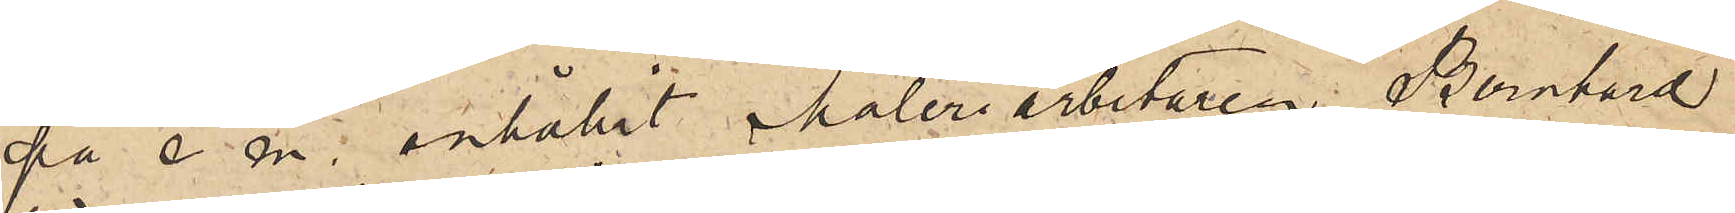på e. m. anhållit Måleriarbetaren Bernhard
